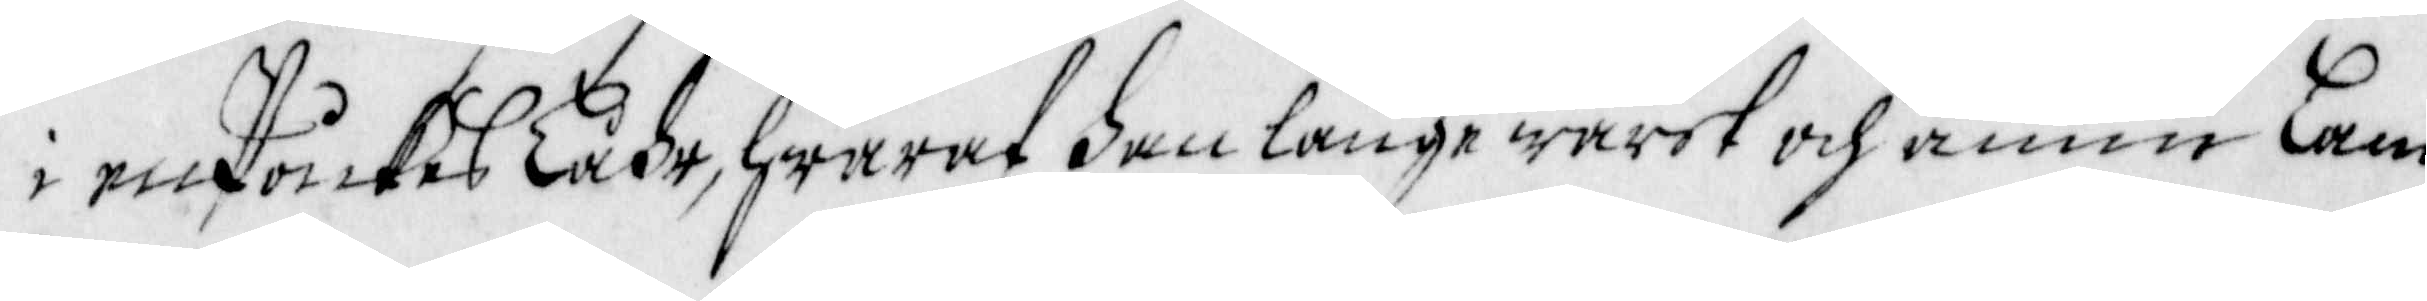i en poikes Låhr, Hwaraf han länge warit och ännu lam
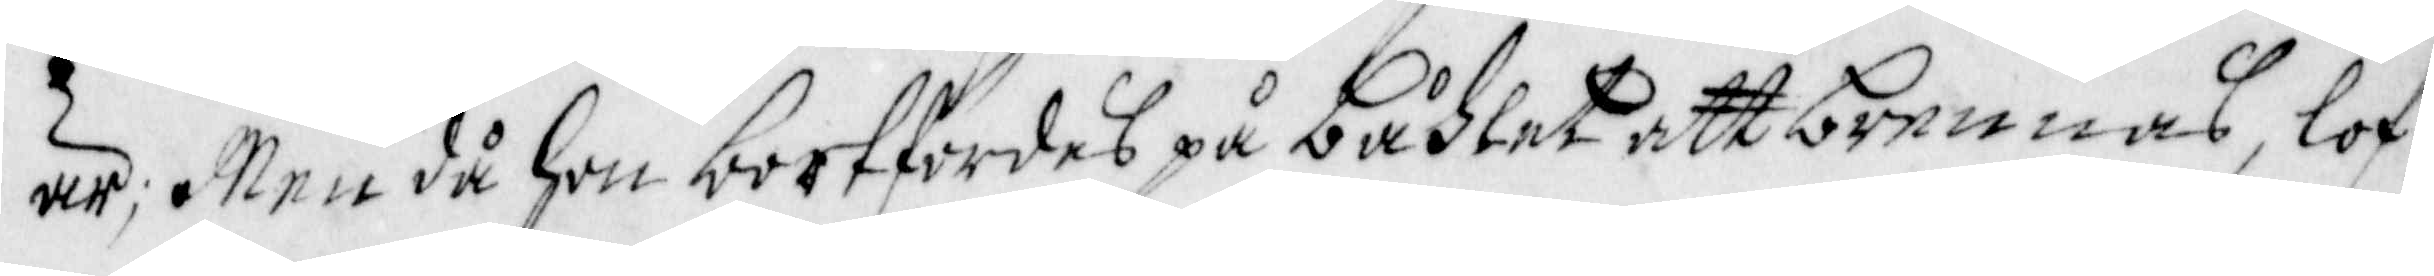är; Men då hon bortfördes på båhlet att brennas, lof¬
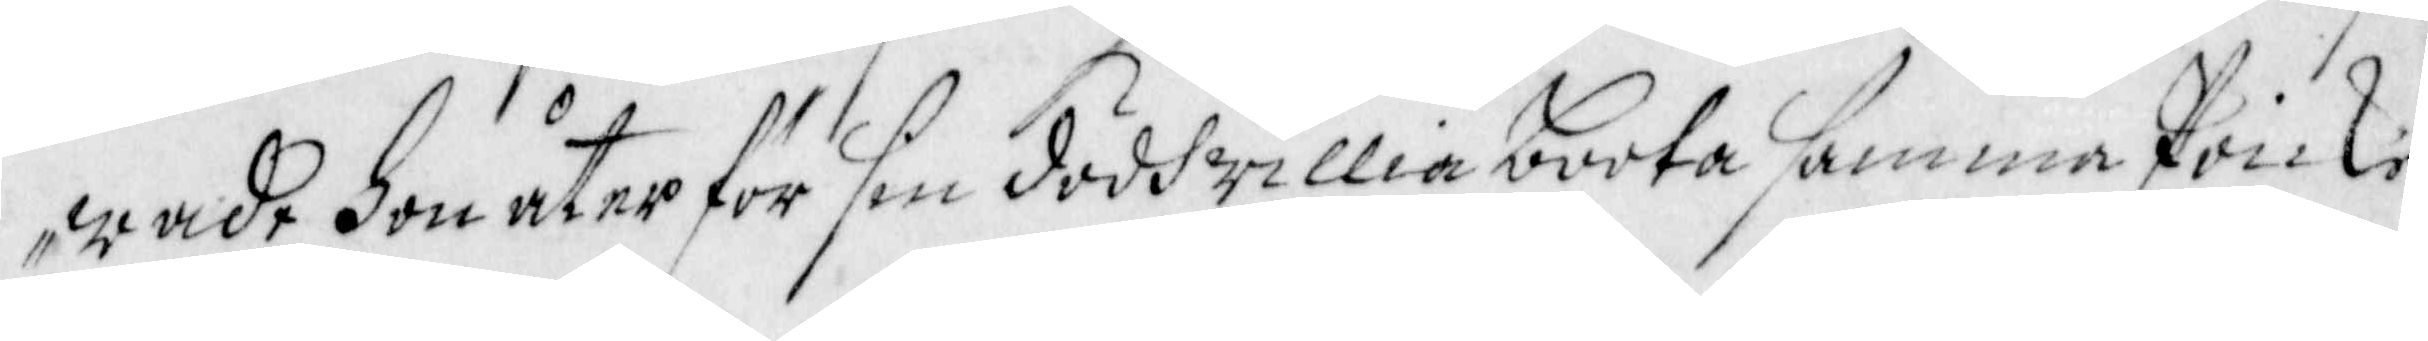wade hon åter för sin dödh willia boota samma Poike.
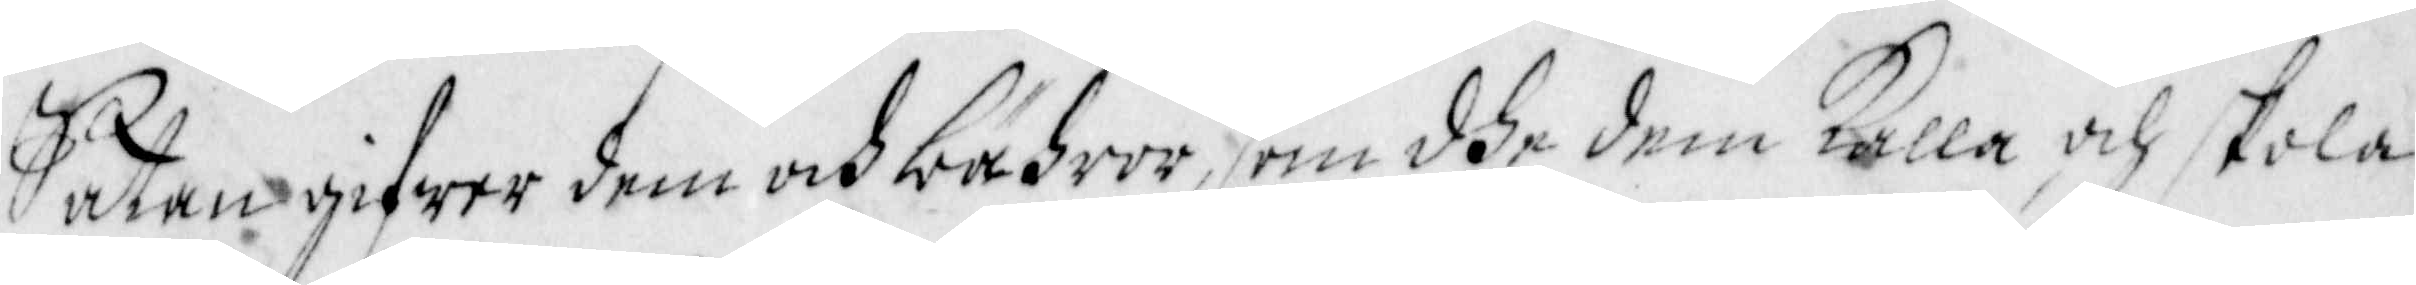Satan gifwer dem och bähror, som dhe dem kalla, ock skola
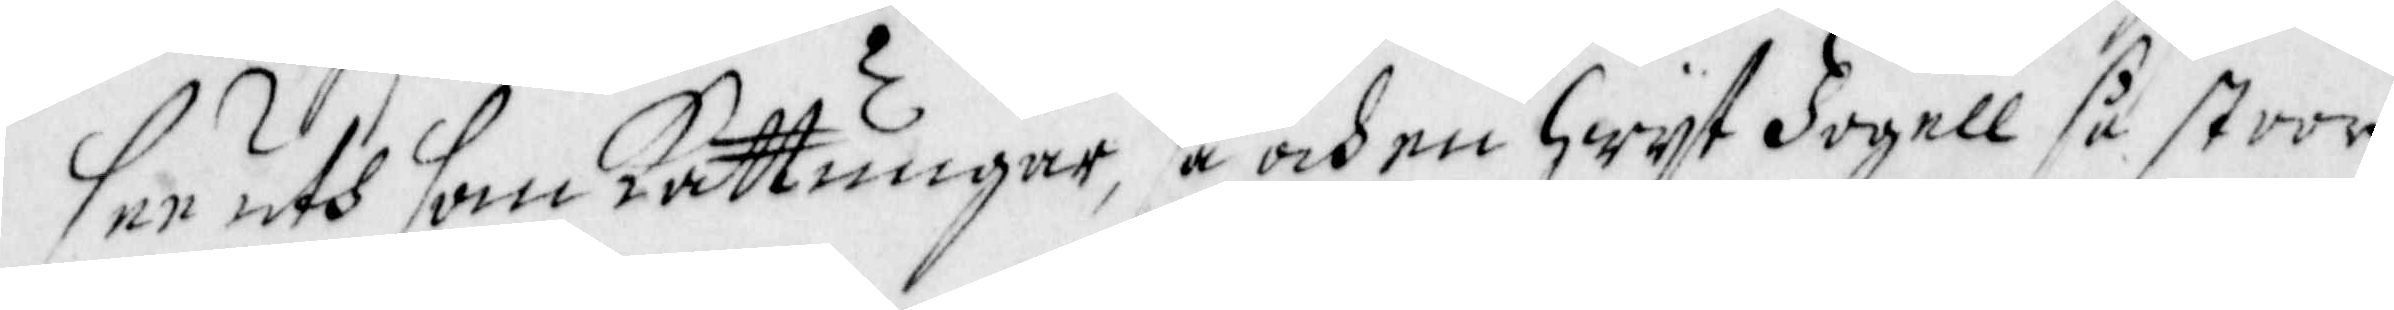see uth som Kattungar, så och en hwit Fogell så stoor
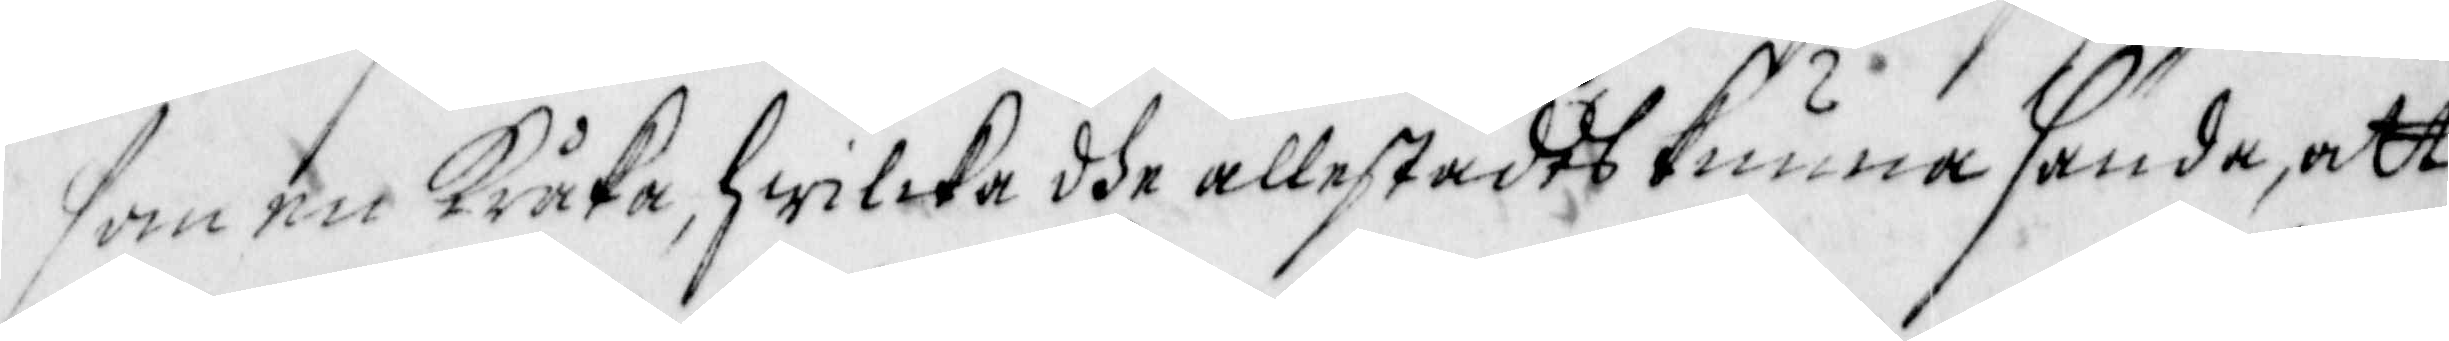som en Kråka, hwilka dhe allestädes kunna sända, att
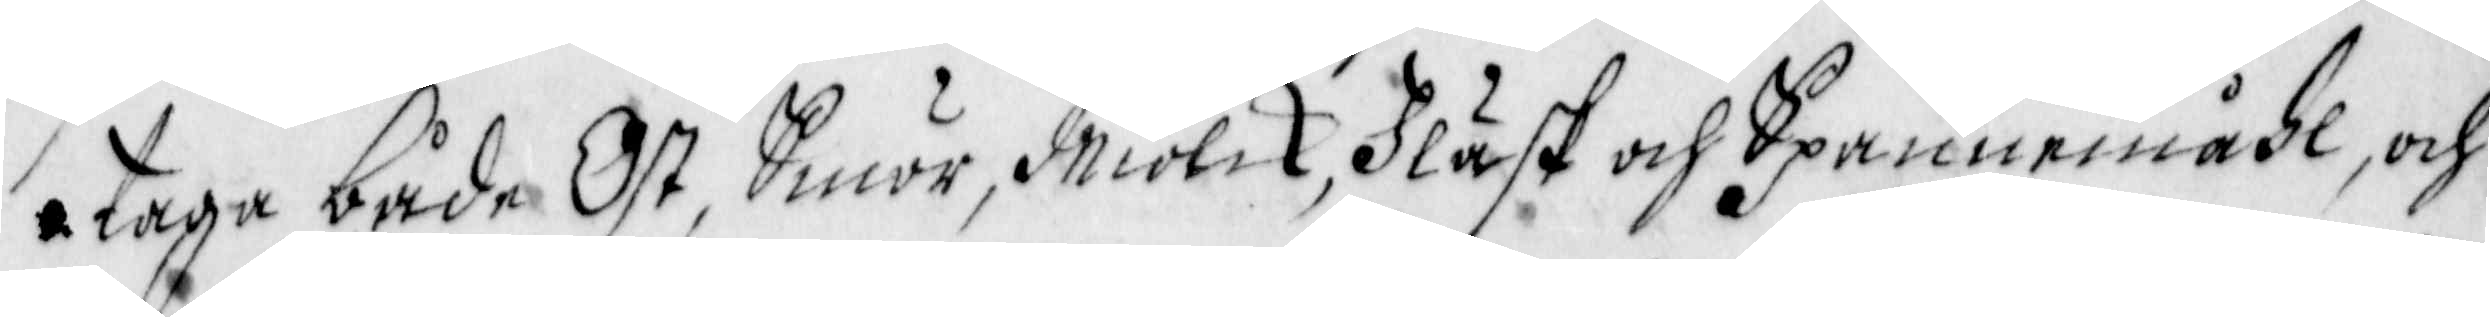taga både Ost, Smör, Miölck, Fläsk och Spannemåhl, och
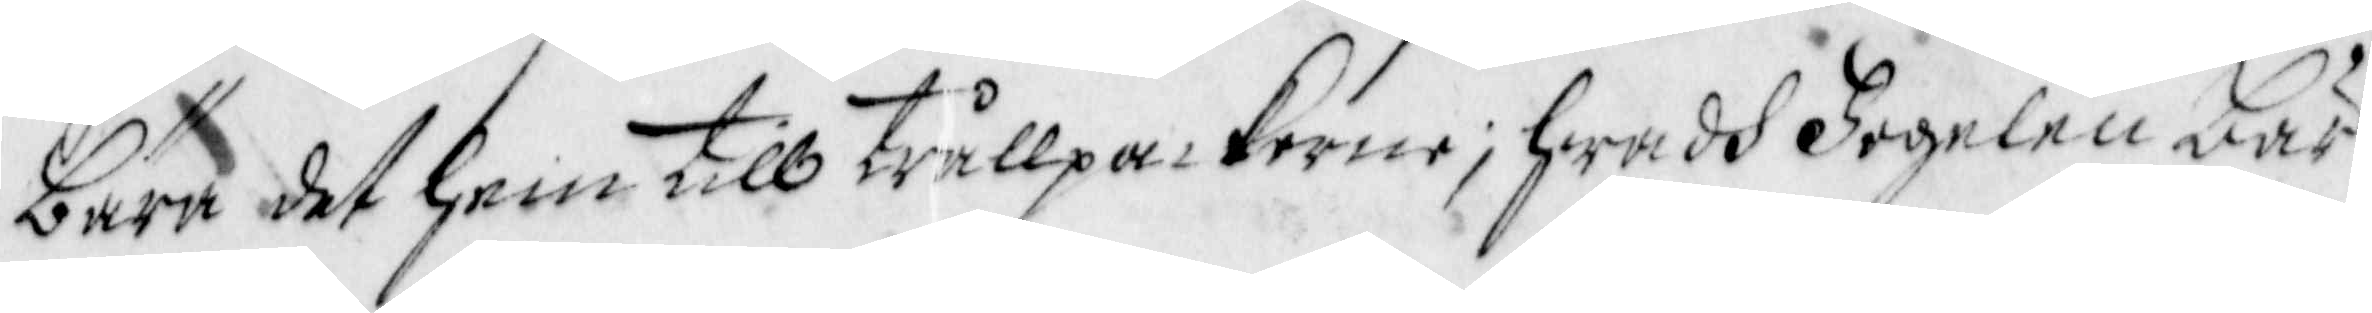bära det hem till trållpackorne; hwadh Fogelen bär
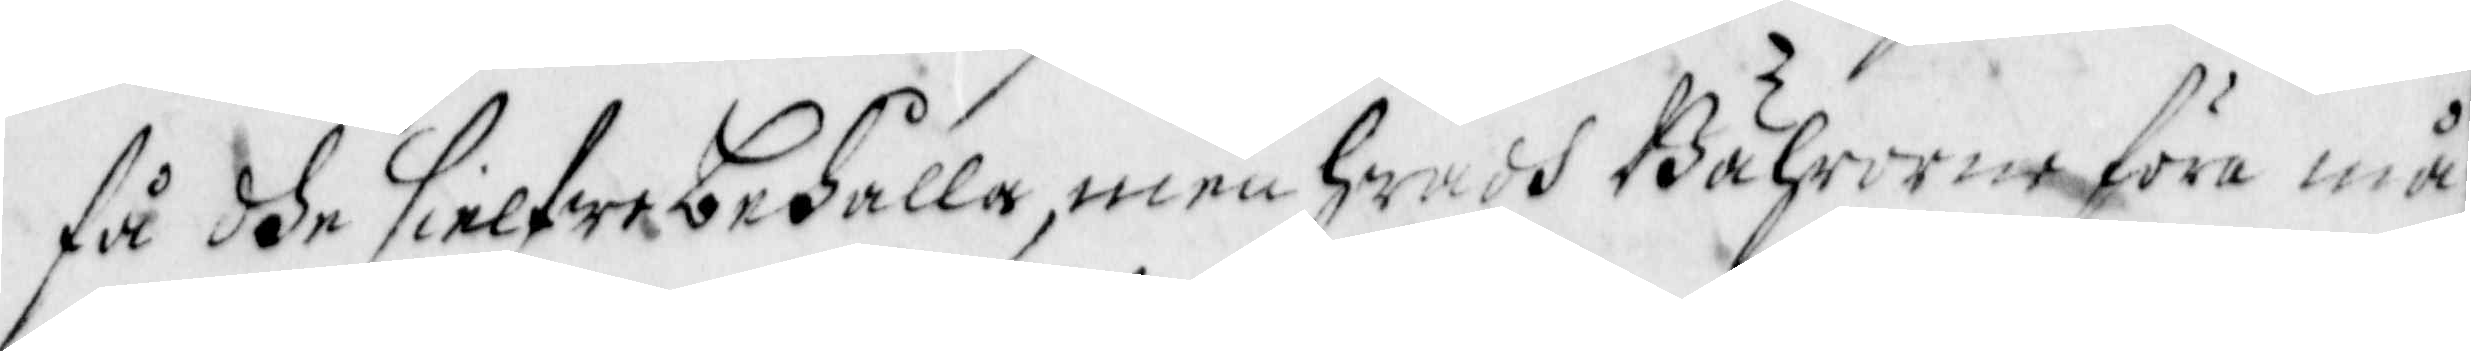få dhe sielfwe behålla, men hwad Bährorne föra må¬
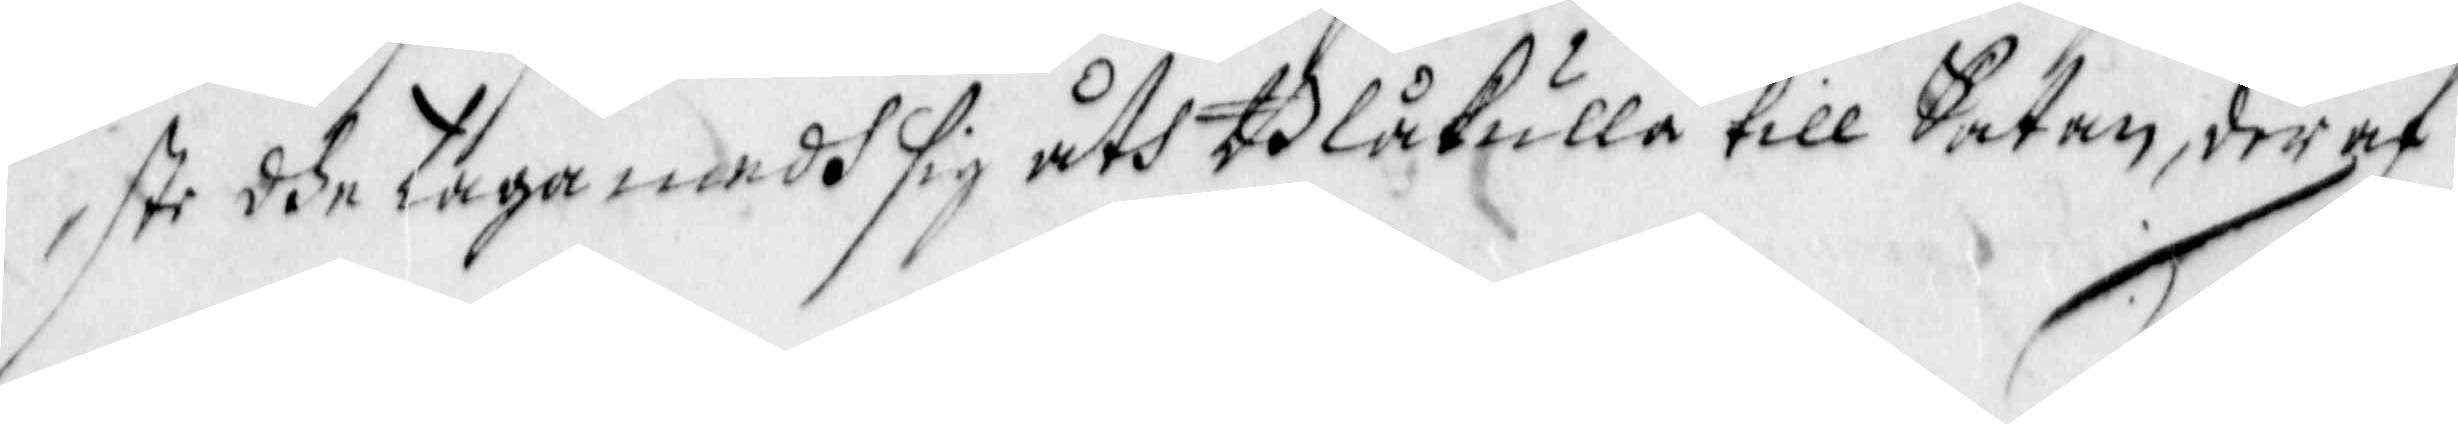ste dhe taga medh sig åth Blåkulla till Satan, der af
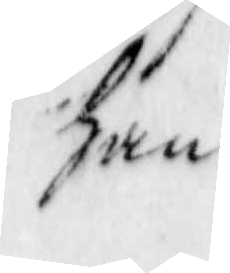han
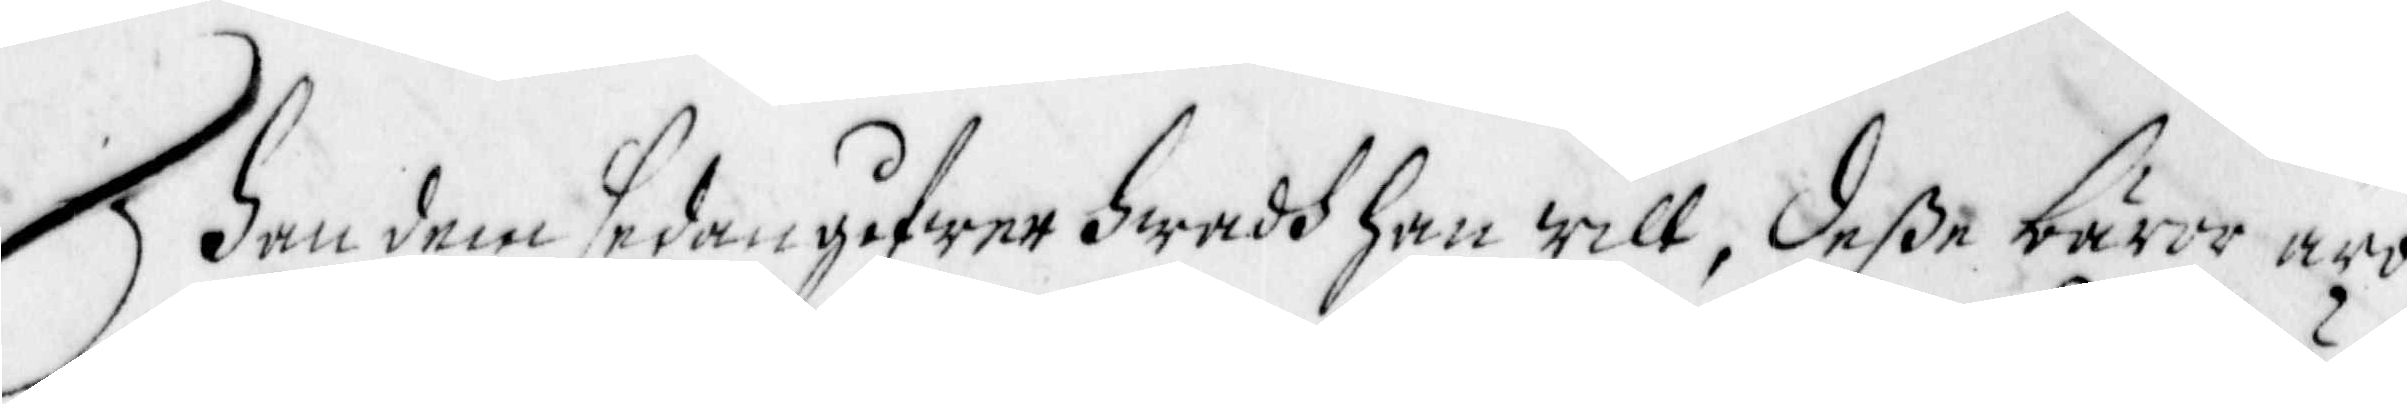Han dem sedan gifwer Hwadh han will, deße bäror äro
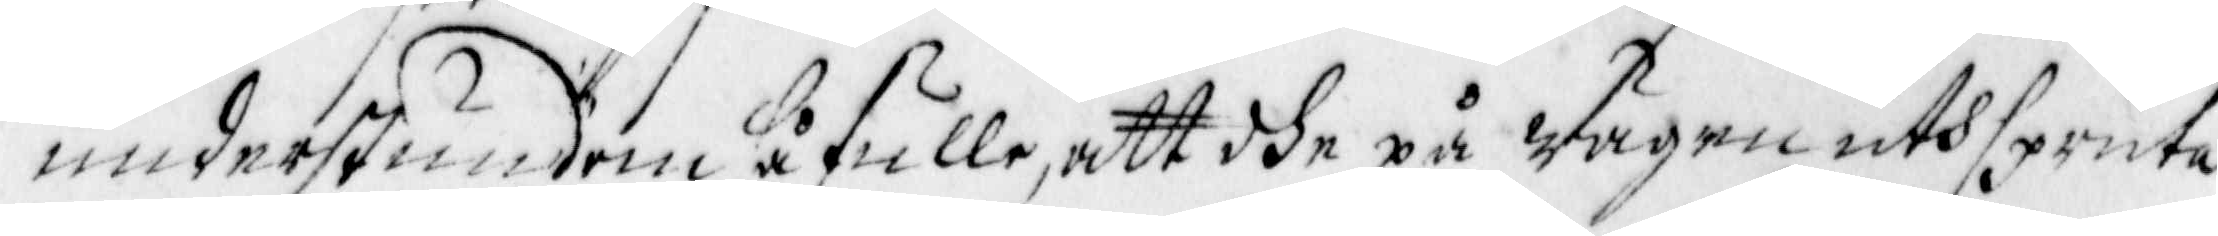understundom så fulle, att dhe på wägen uthspruta
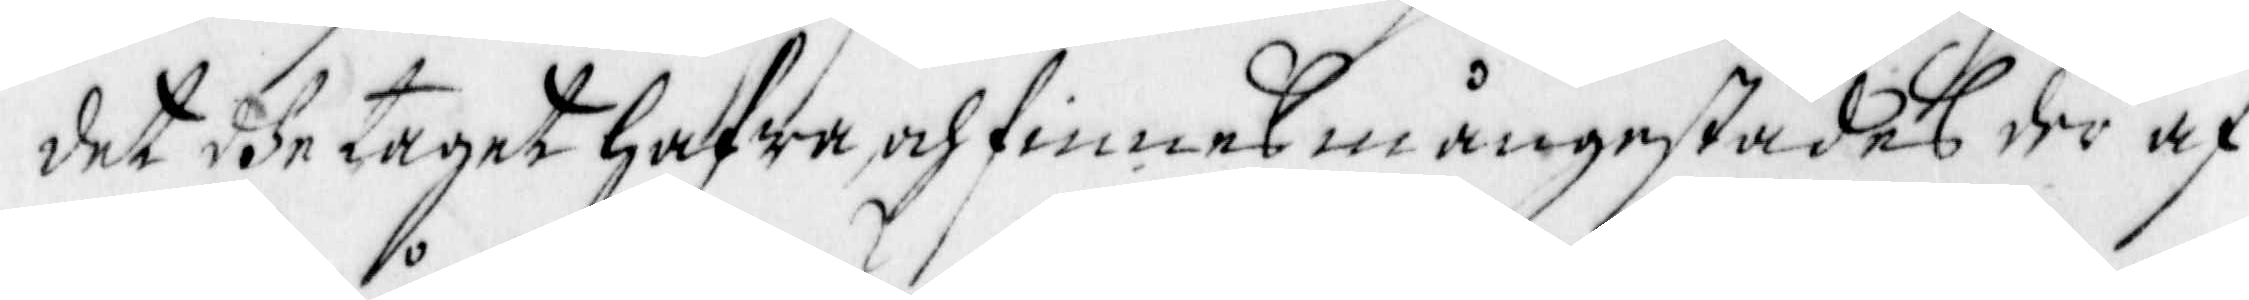det dhe taget hafwa, och finnas mångestädes der af
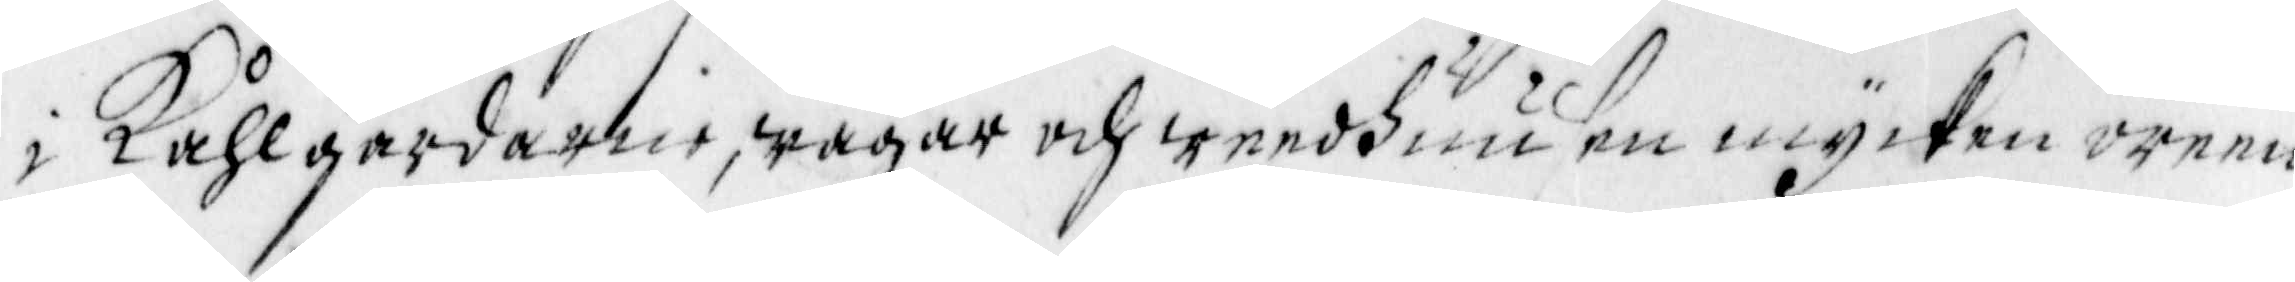Kåhlgårdarne, wägar och weedhuusen mycken oren¬
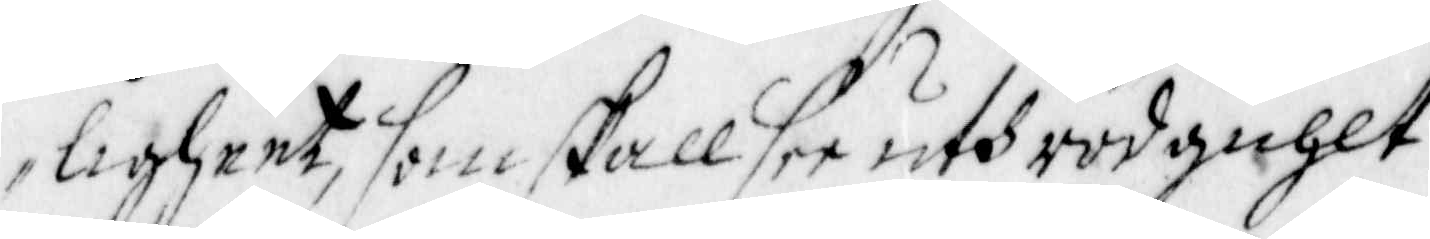ligheet, som skall see uth rödguhlt.
